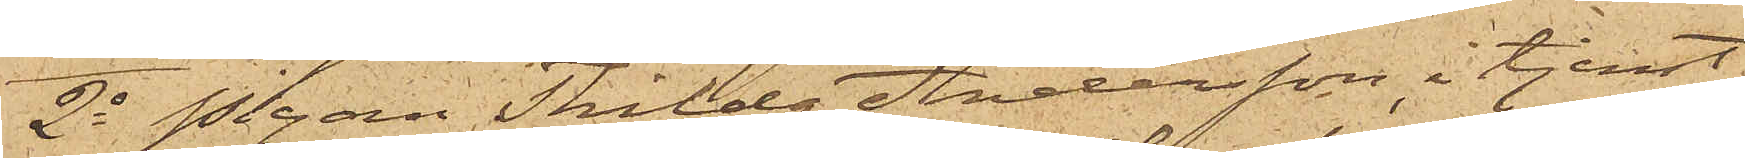2o Pigan Thilda Andersson, i tjenst
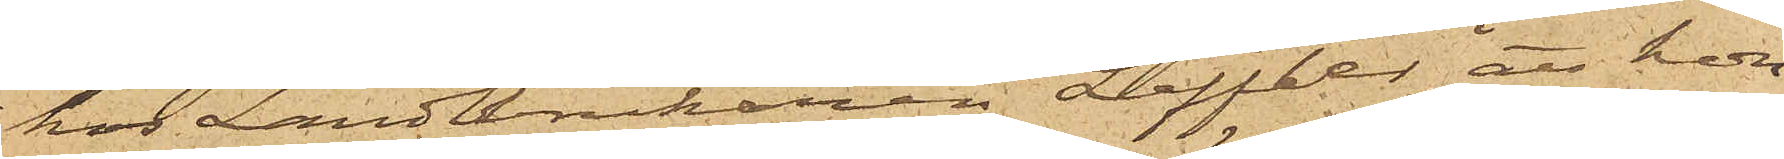hos Landtbrukaren Leffler, att hon
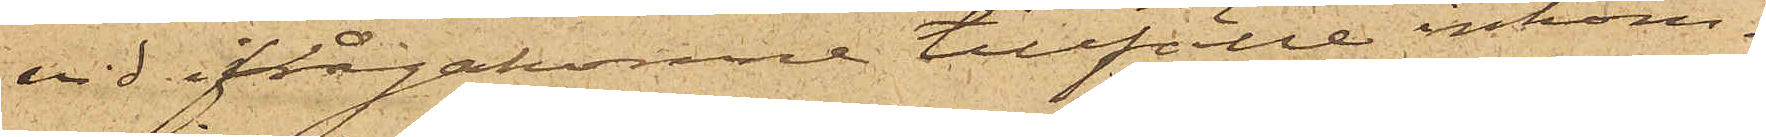vid ifrågakomne tillfälle inkom¬
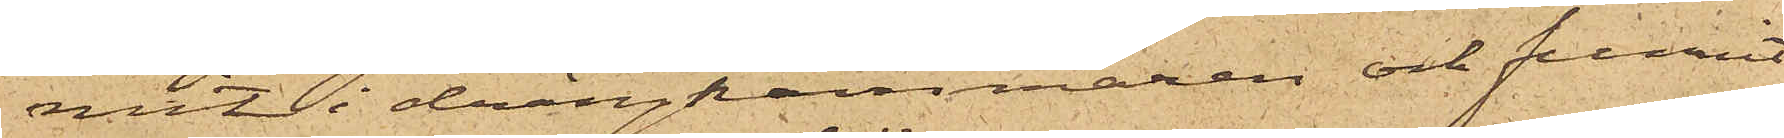mit i drängkammaren och funnit
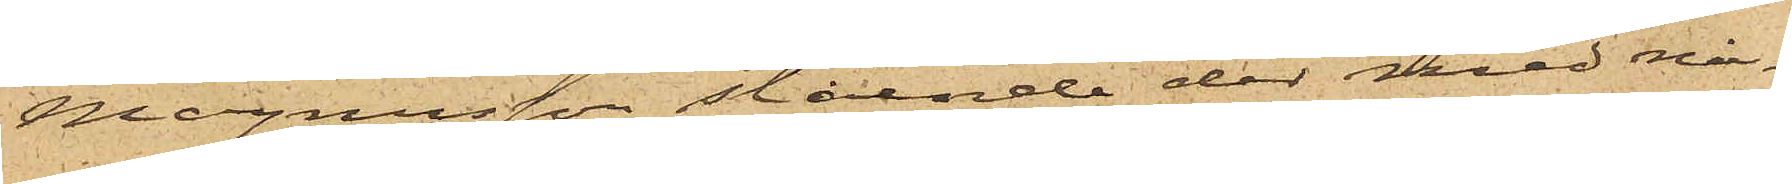Magnusson stående der med nå¬
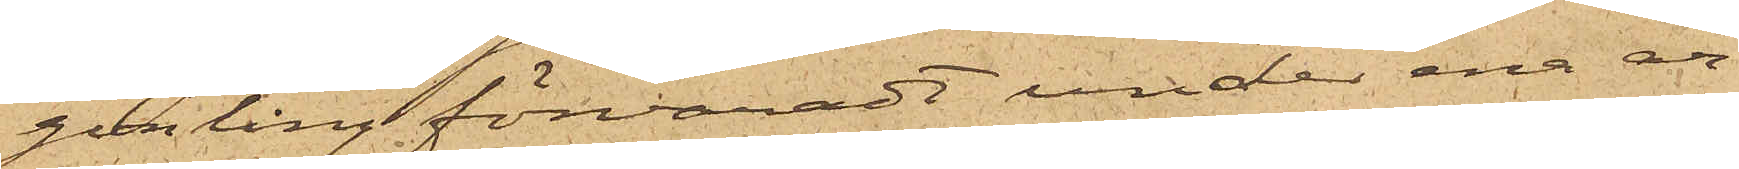gonting förvaradt under ena ar¬
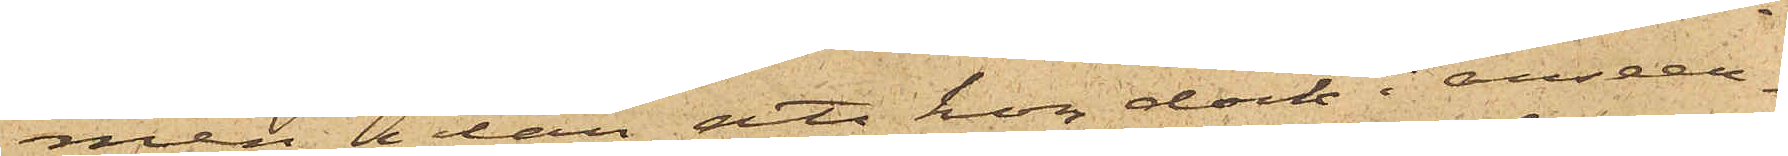men, utan att hon dock i anseen¬
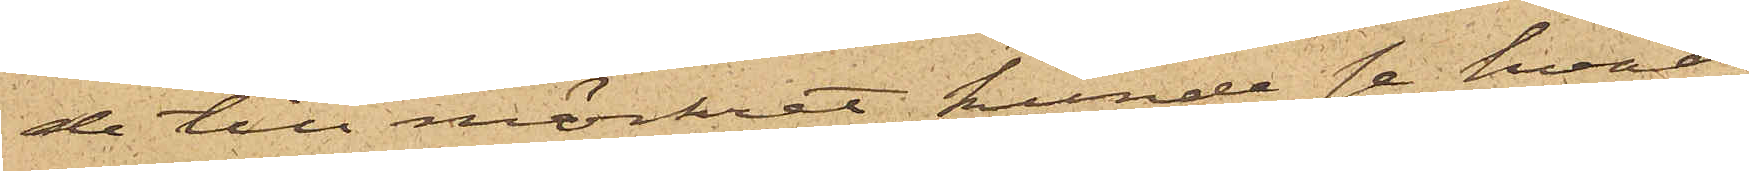de till mörket kunde se hvad
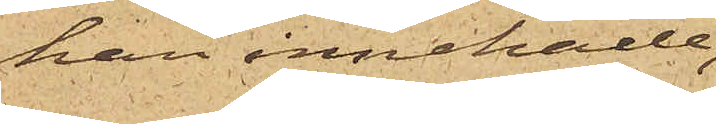han innehade,
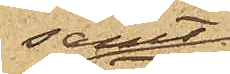samt
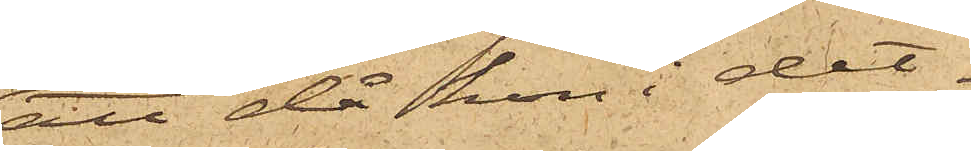att då hon i det¬
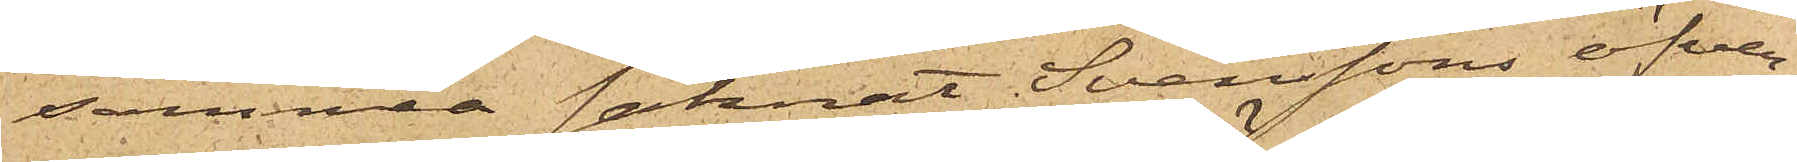samma saknat Svenssons öfver¬
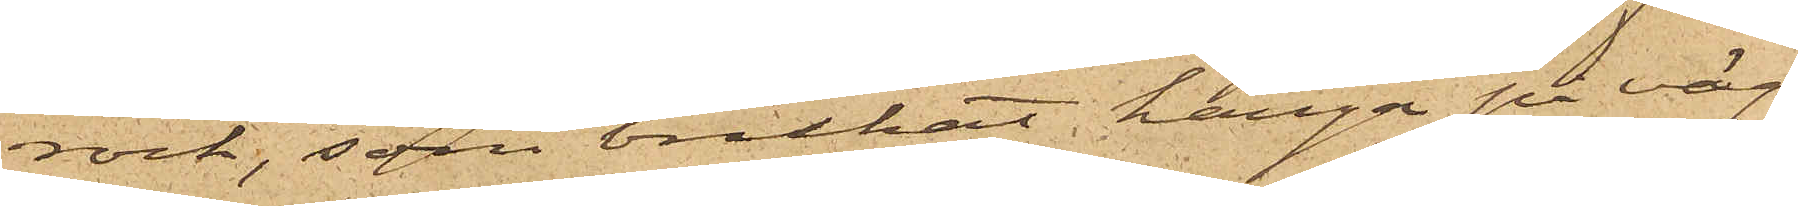rock, som brukat hänga på väg¬
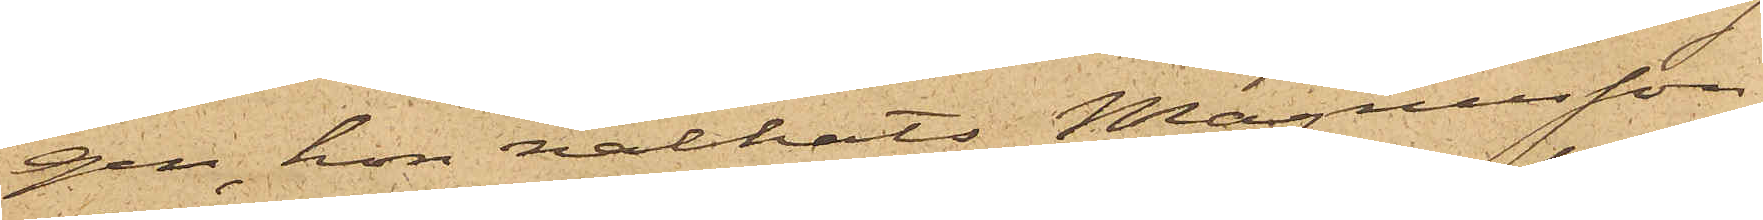gen, hon nalkats Magnusson,
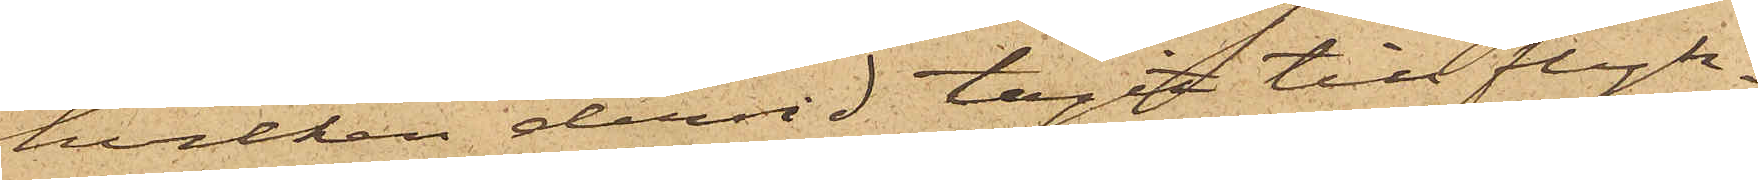hvilken dervid tagit till flyk¬
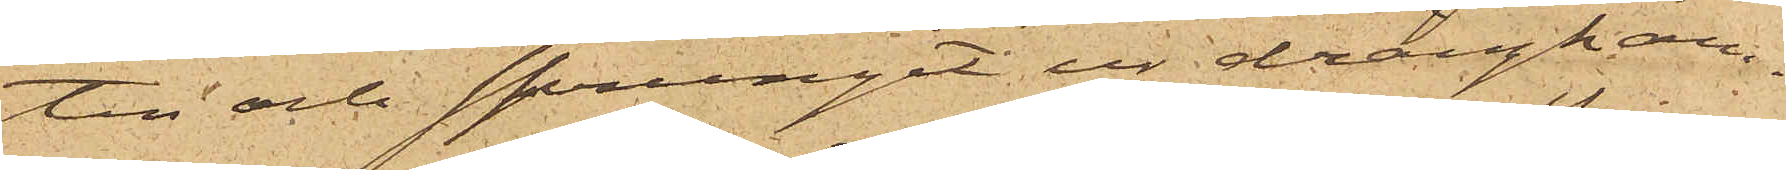ten och sprungit ur drängkam¬
